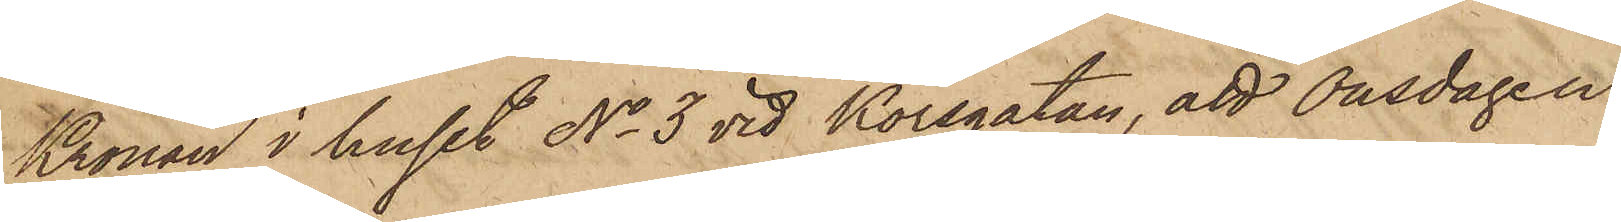Kronan i huset No 3 vid Korsgatan, att Onsdagen
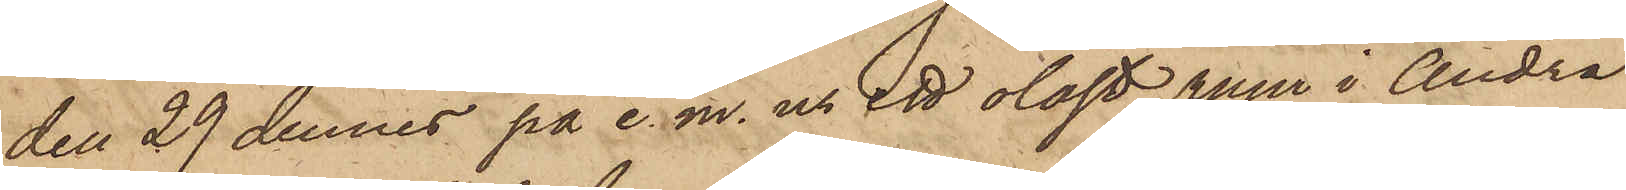den 29 dennes på e. m. ur ett olåst rum i Andra
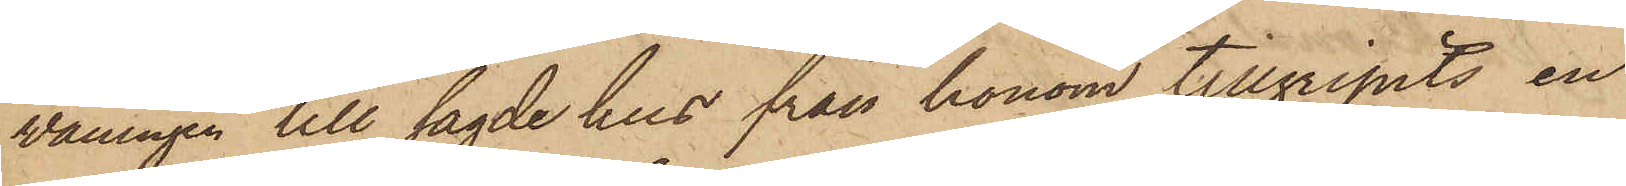våningen till sagde hus från honom tillgripits en
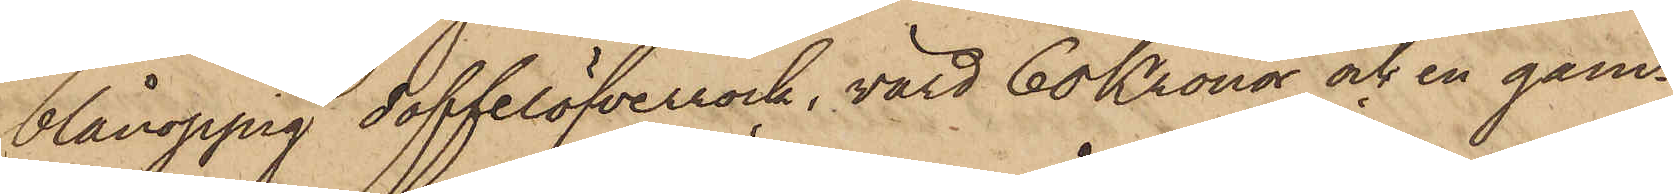blånoppig doffelöfverrock, värd 60 Kronor och en gam¬
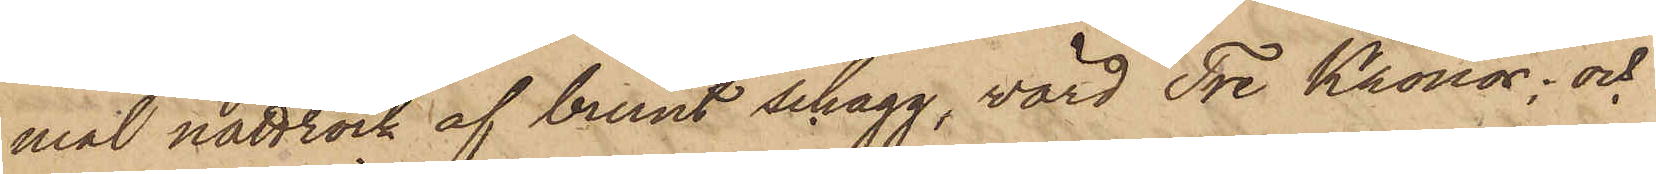mal nattrock af brunt schagg, värd Tre Kronor; och
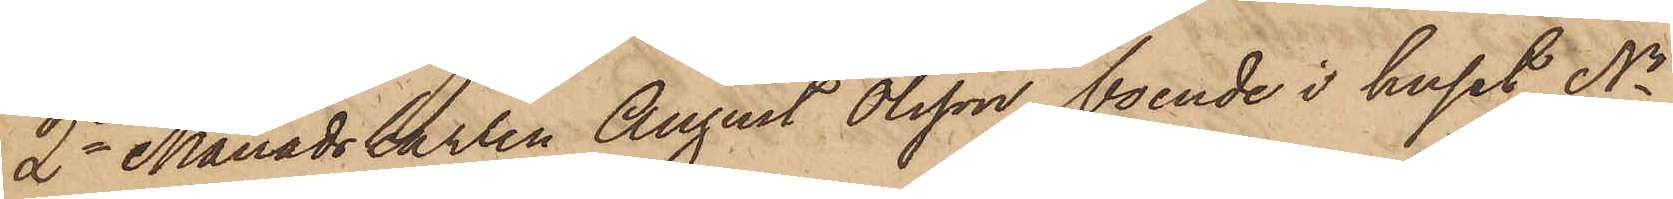2o Månadskarlen August Olsson, boende i huset No
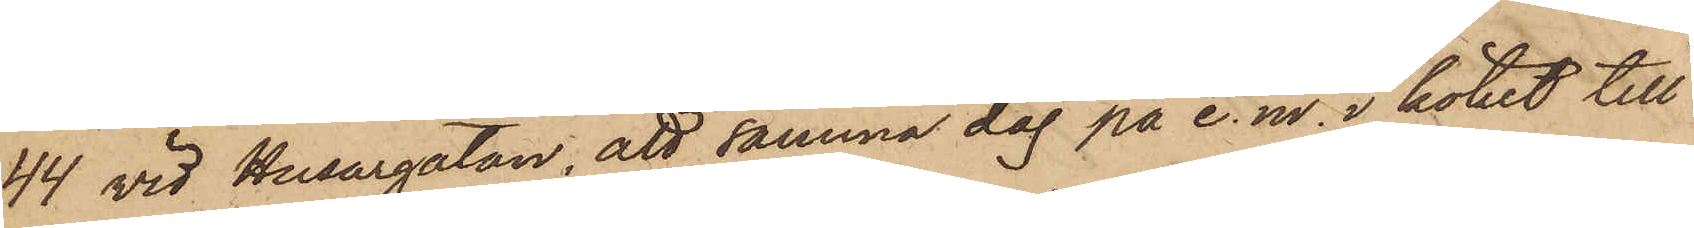44 vid Husargatan, att samma dag på e. m. i köket till
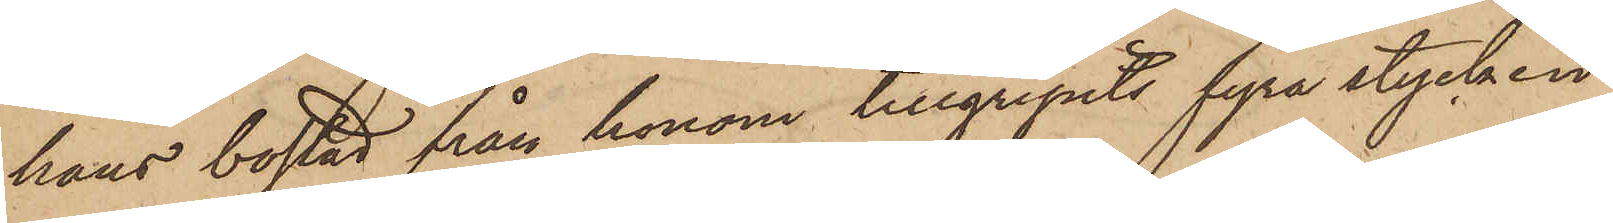hans bostad från honom tillgripits fyra stycken
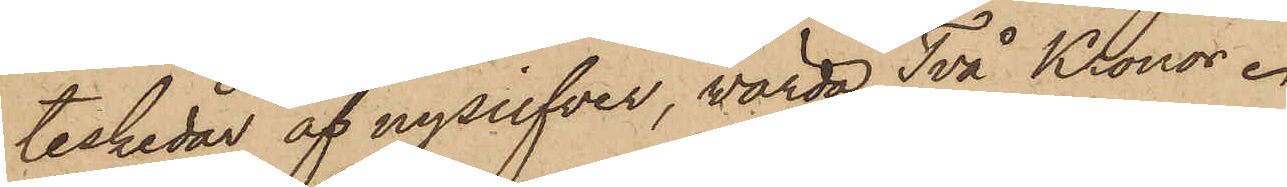teskedar af nysilfver, wärda Två Kronor.
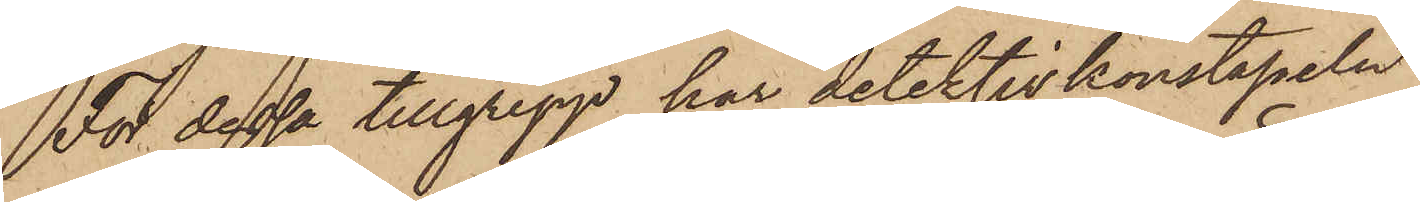För dessa tillgrepp har detektivkonstapeln
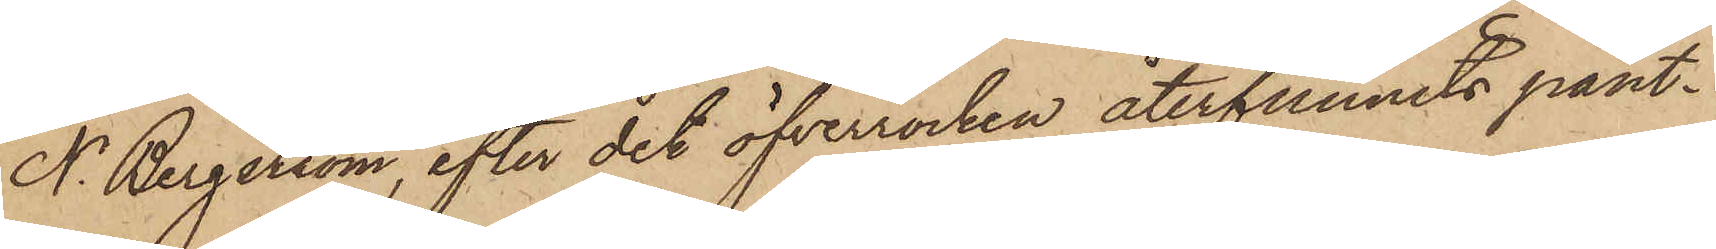N. Bergström, efter det öfverrocken återfunnits pant¬
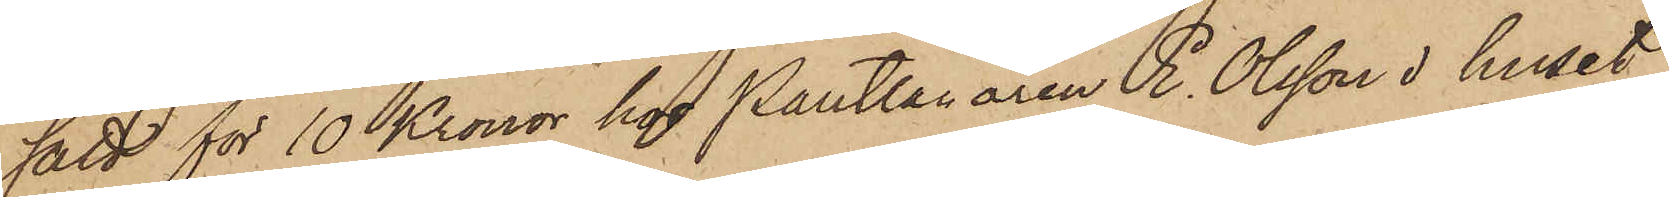satt för 10 Kronor hos Pantlånaren E. Olsson i huset
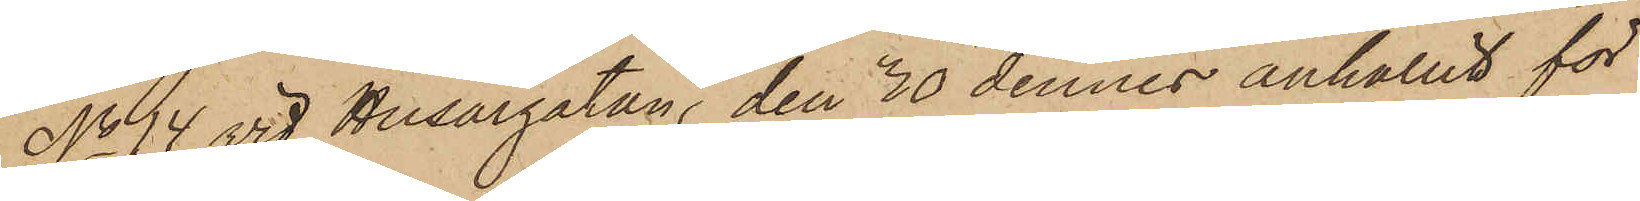No 14 vid Husargatan, den 20 dennes anhållit för
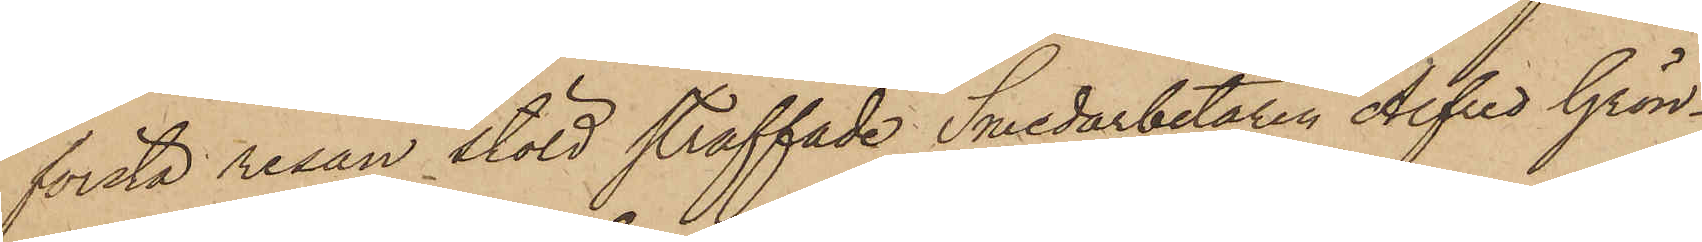första resan stöld straffade Smedarbetaren Alfred Grön¬
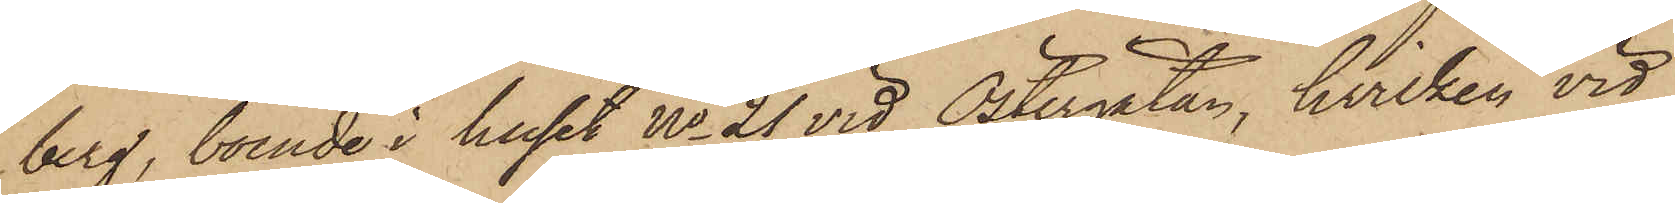berg, boende i huset No 21 vid Östergatan, hvilken vid
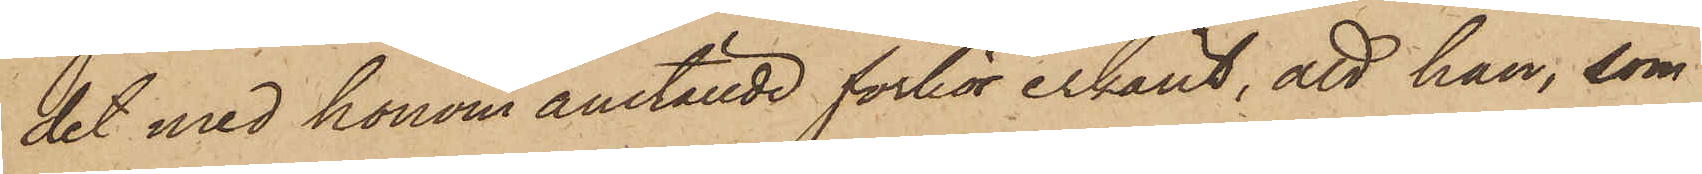det med honom anställde förhör erkänt, att han, som
